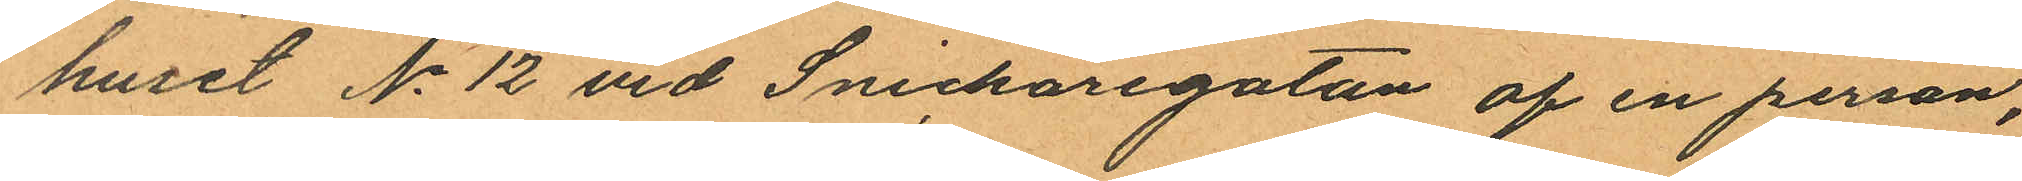huset No 12 vid Snickaregatan af en person,
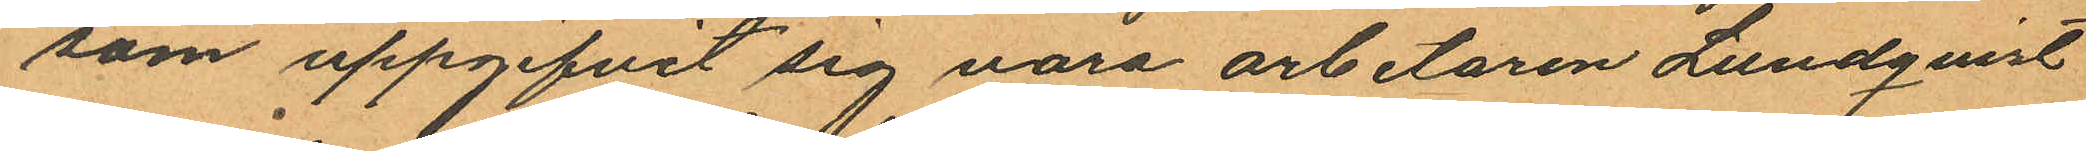som uppgifvit sig vara arbetaren Lundqvist
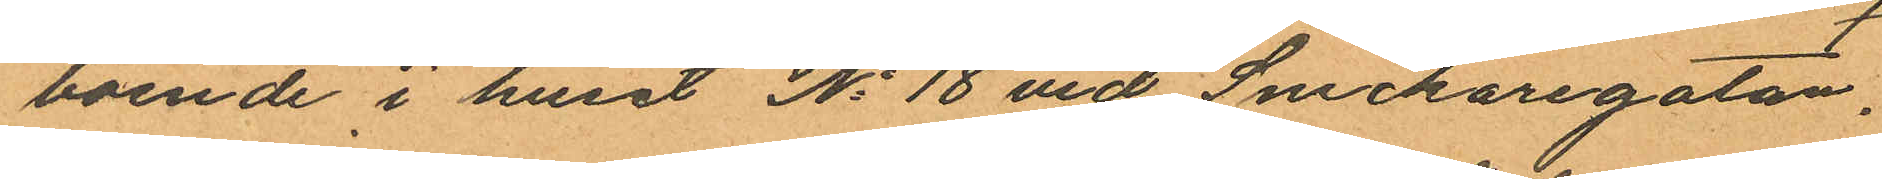boende i huset No 18 vid Snickaregatan.
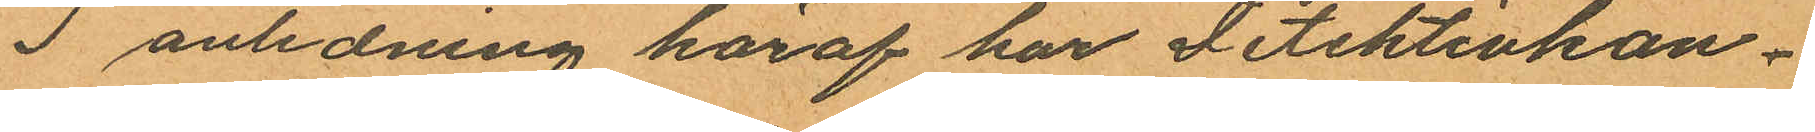I anledning häraf har Detektivkon¬
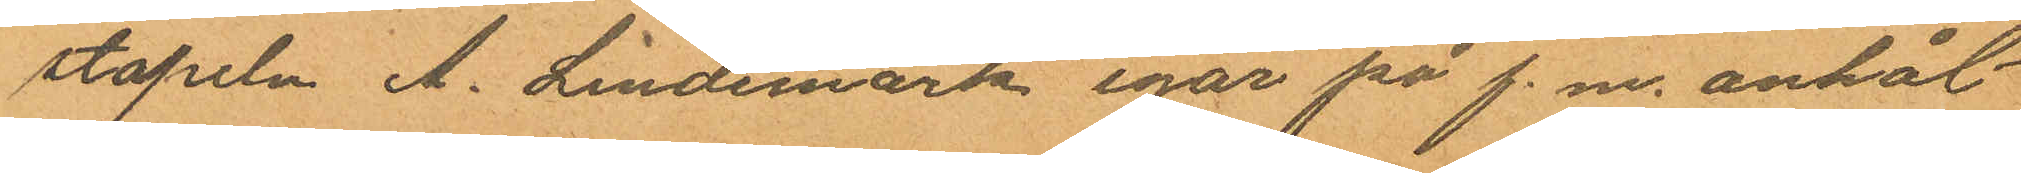stapeln A. Lindemark igår på f. m. anhål¬
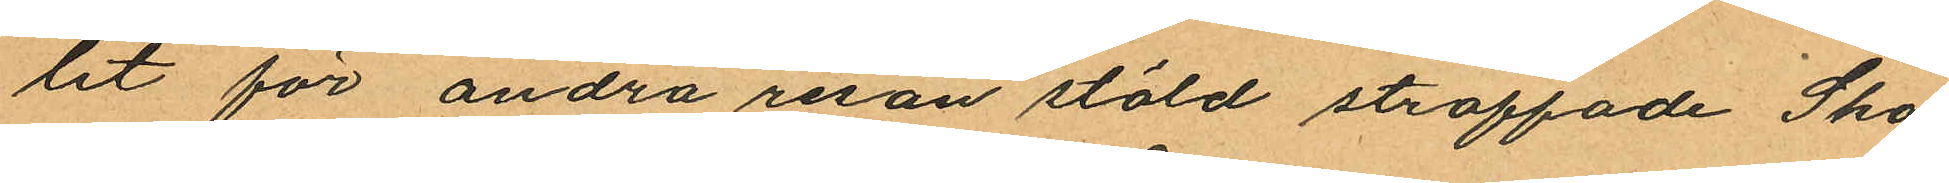lit för andra resan stöld straffade Sko¬
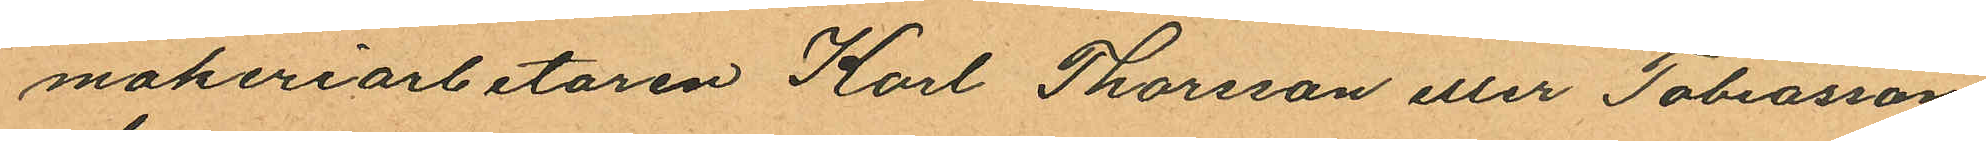makeriarbetaren Karl Thorsson eller Tobiasson
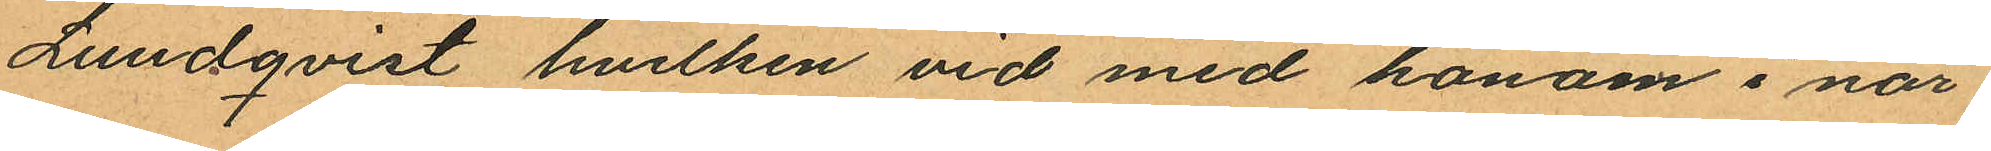Lundqvist hvilken vid med honom i när
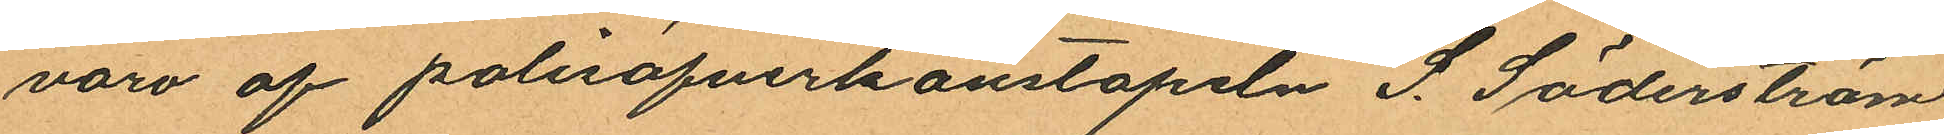varo af polisöfverkonstapeln S. Söderström
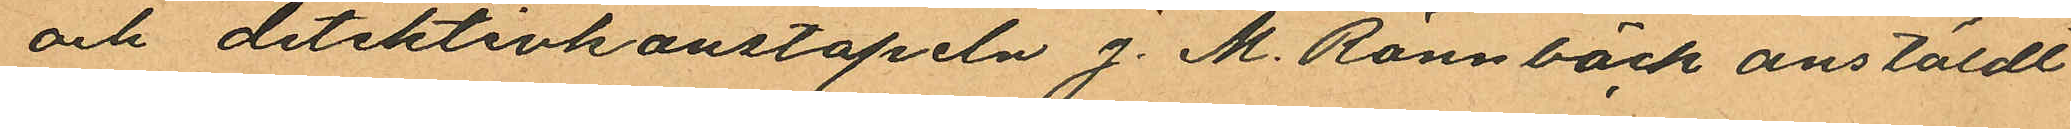och detektivkonstapeln J. M. Rönnbäck anstäldt
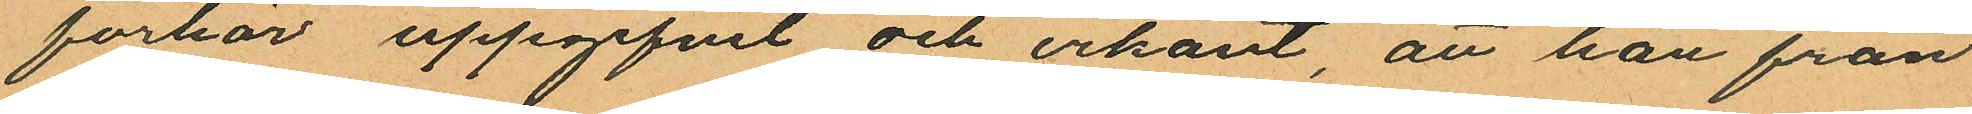förhör uppgifvit och erkänt, att han från
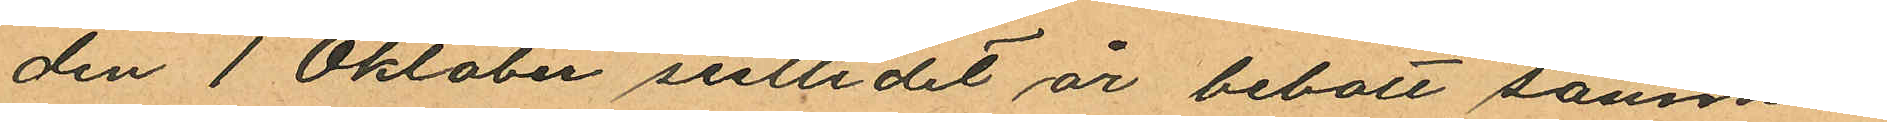den 1 Oktober sistlidet år bebott samma
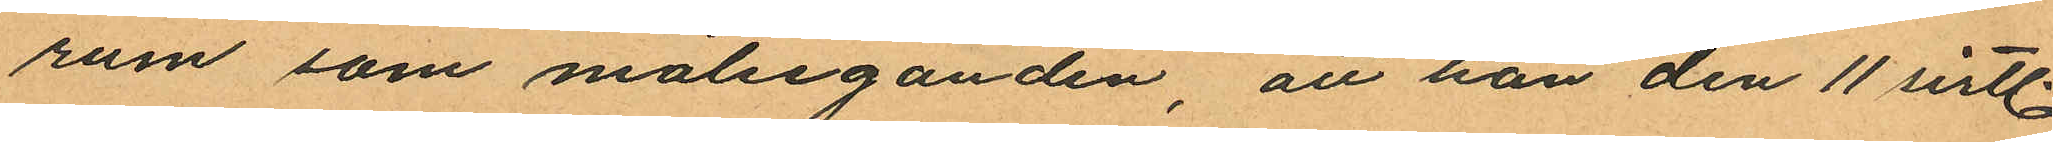rum som målseganden, att han den 11 sistl.
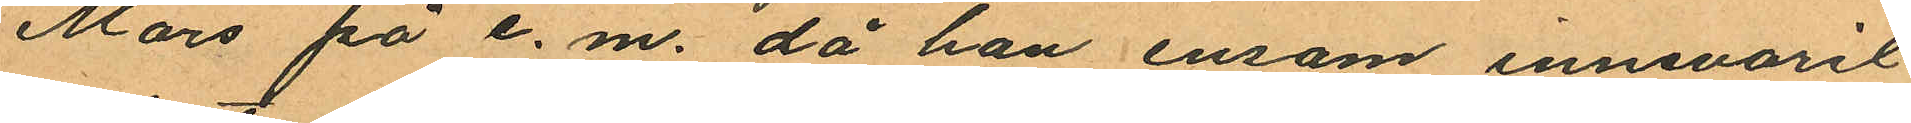Mars på e. m. då han ensam innevarit
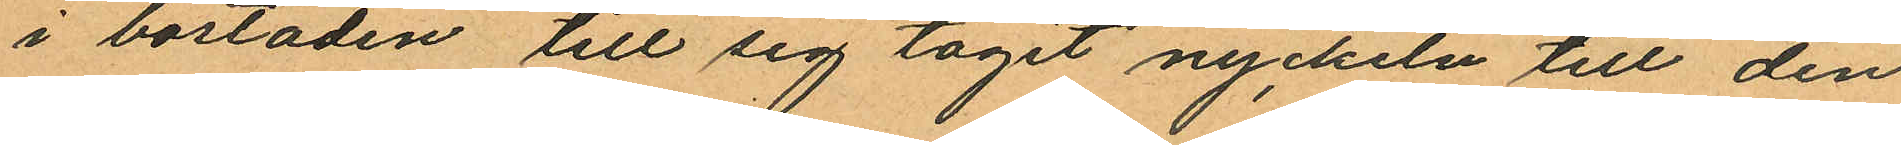i bostaden till sig tagit nyckeln till den
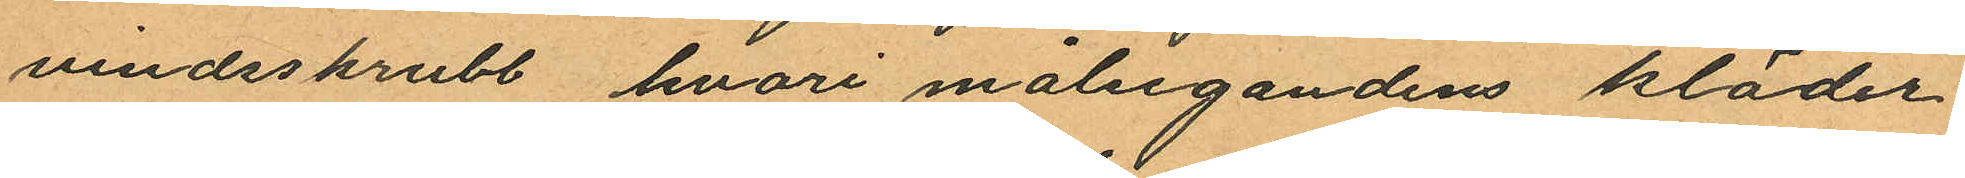vindsskrubb hvari målsegandens kläder
